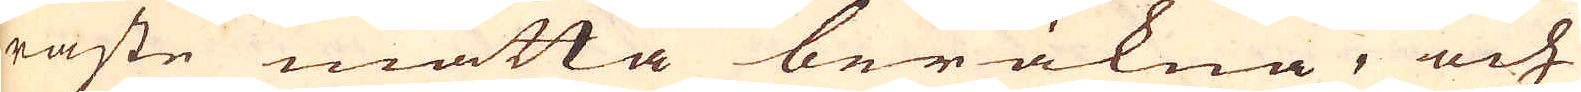raste måtta beräkna, och
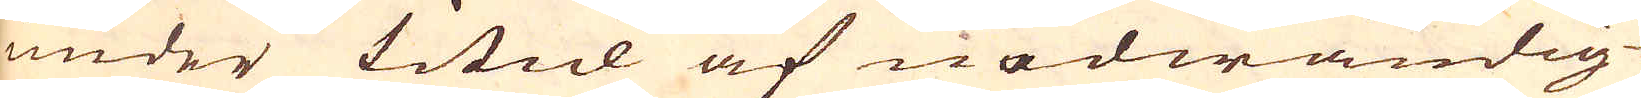under titul af nödwändig-
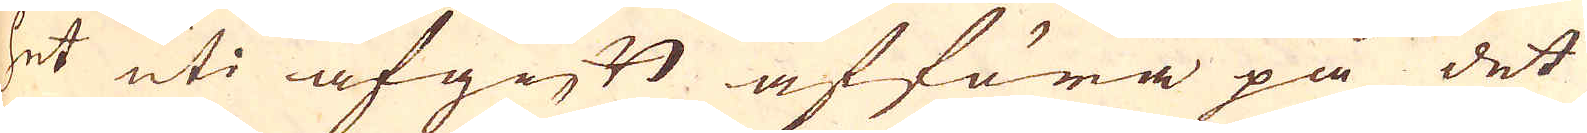het uti afgift afföra på det
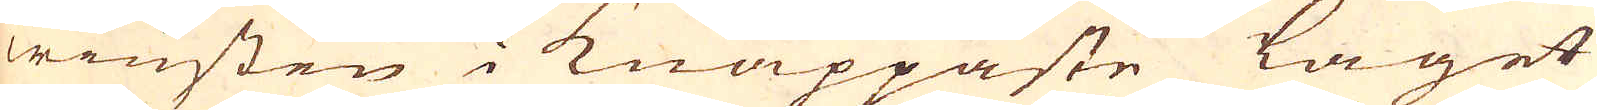winsten i knappaste laget
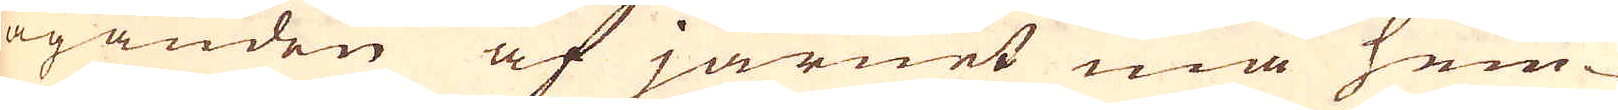äganden af järnet må hem-
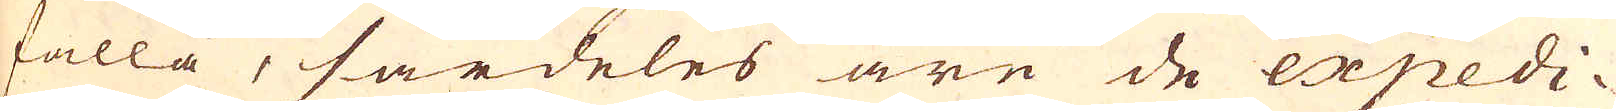falla, särdeles äre de expedi-
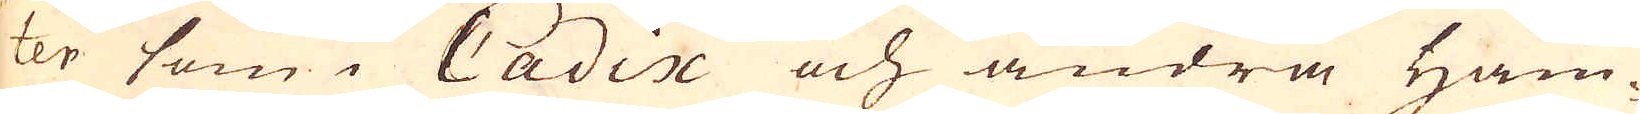ter som i Cadix och andra Ham-
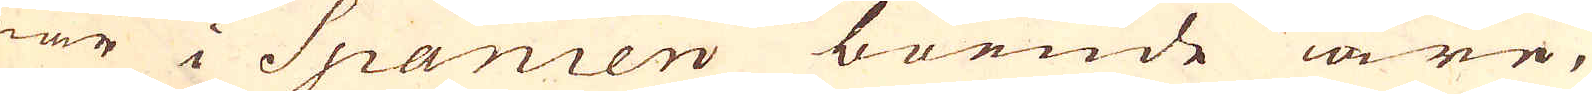nar i Spanien boende äre,
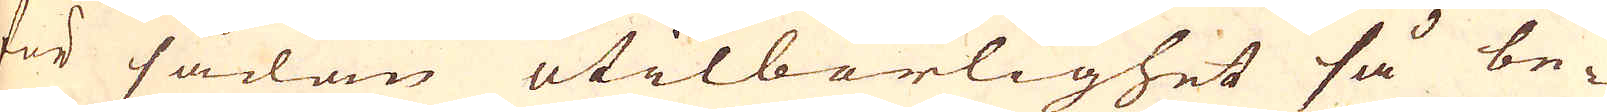för sådan otilbörlighet så be-
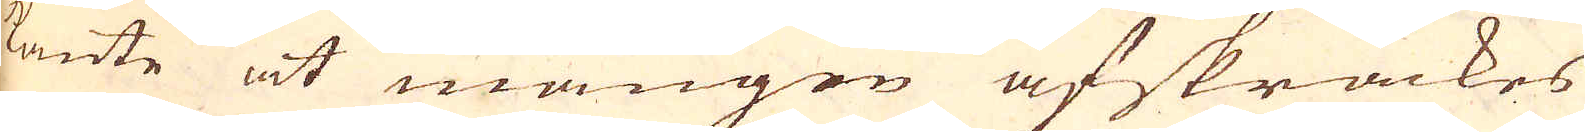kante at mången afskräckes
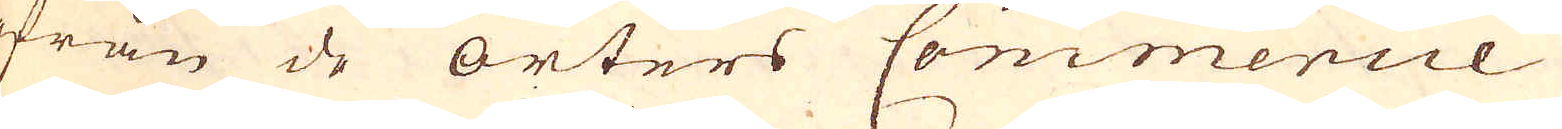ifrån de orters Commercie,
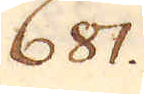681.
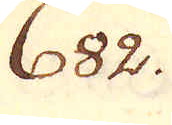682.
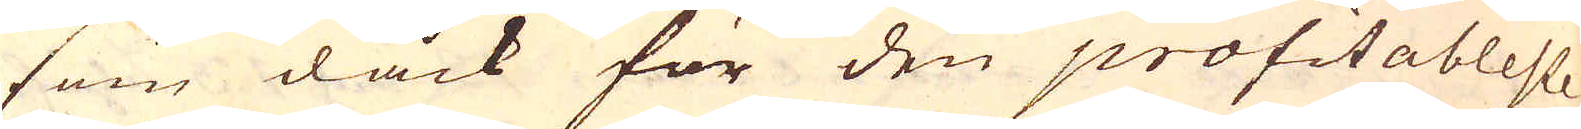som dåck för den profitableste
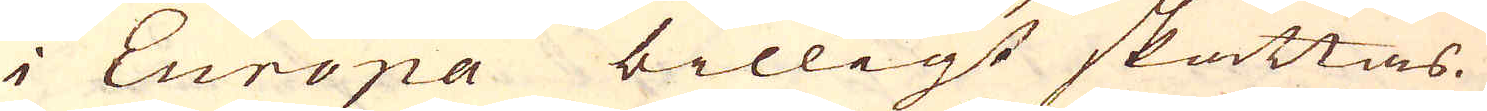i Europa billigt skattas.
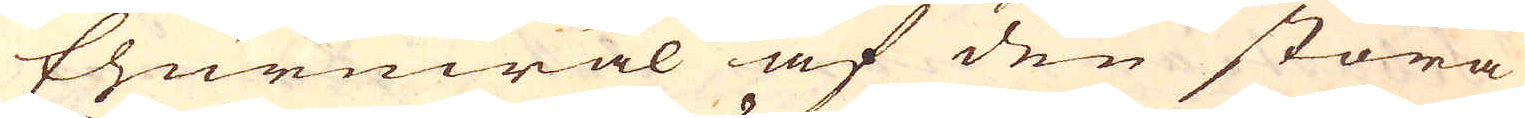Ehuruwäl af den stora
